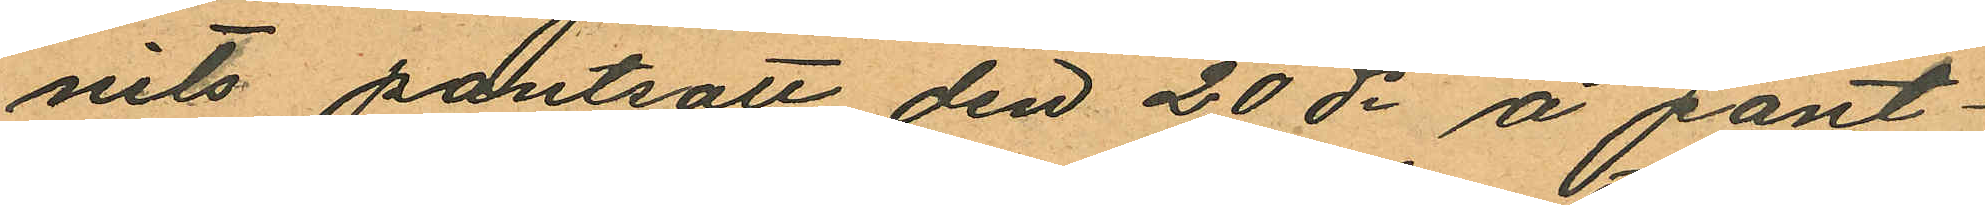nits pantsatt den 20 ds å pant¬
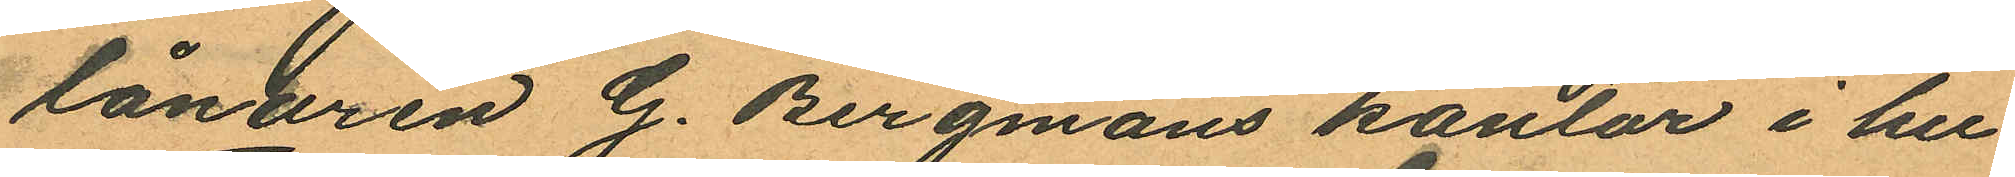lånaren G. Bergmans kontor i h¬u
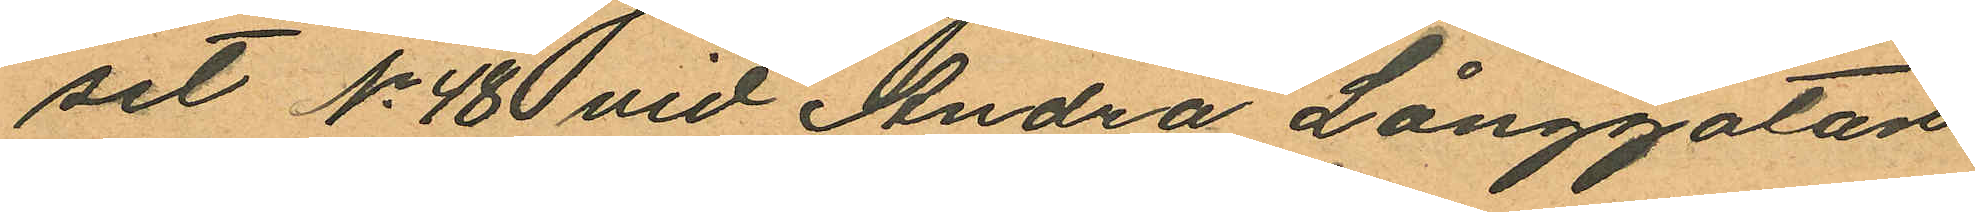set No 48 vid Andra Långgatan
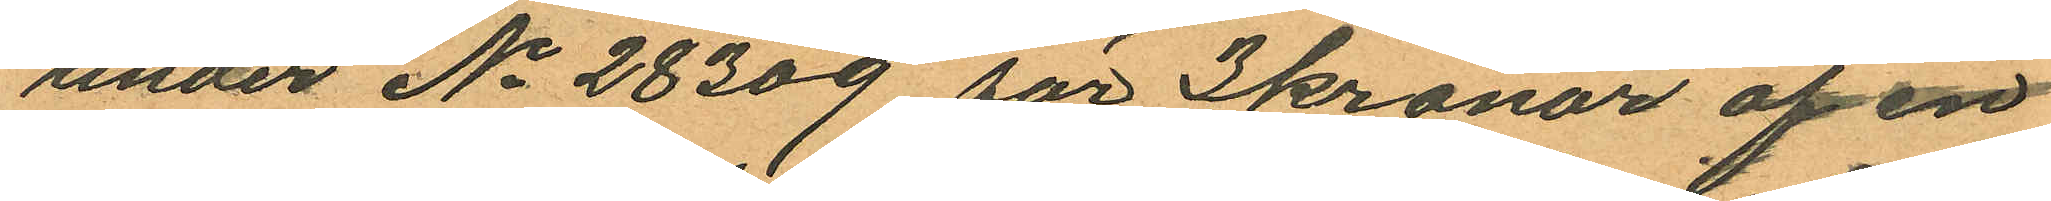under No 28309 för 3 kronor af en
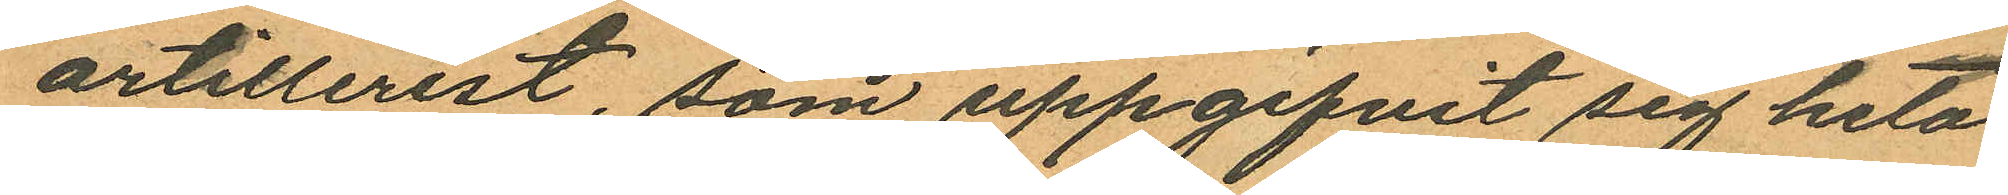artillerist, som uppgifvit sig heta
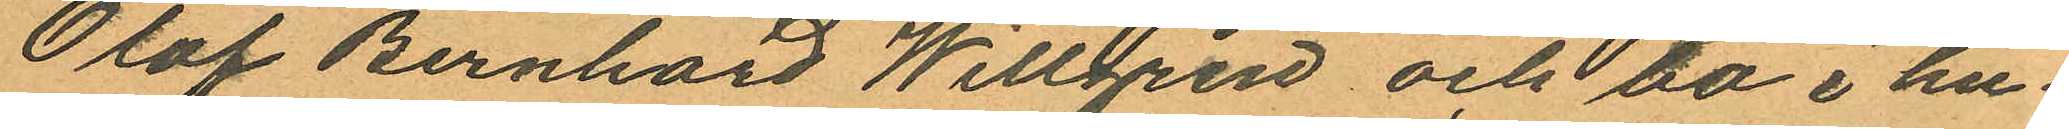Olof Bernhard Willgren och bo i hu¬
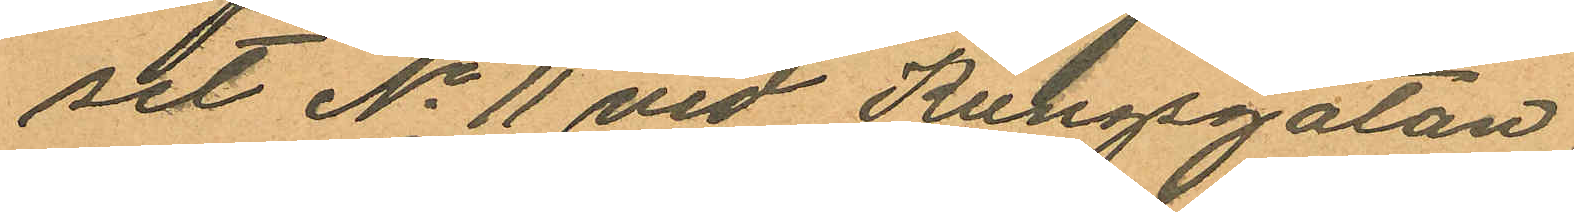set No 11 vid Kungsgatan.
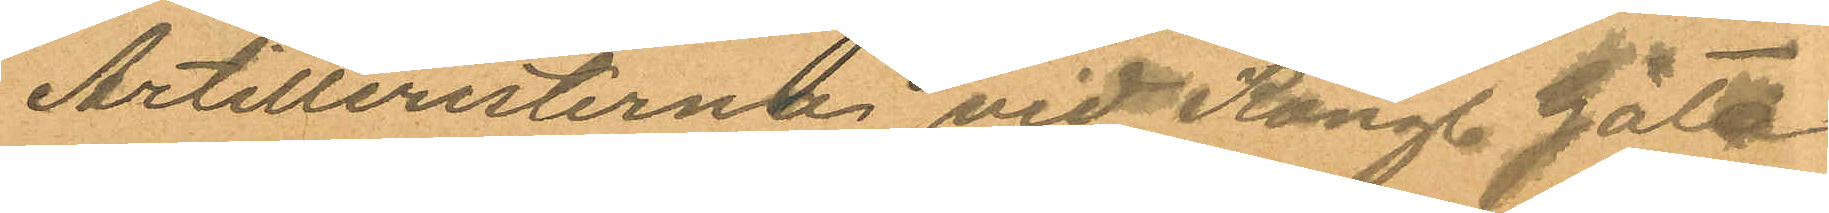Artilleristerne vid Kongl. Göta
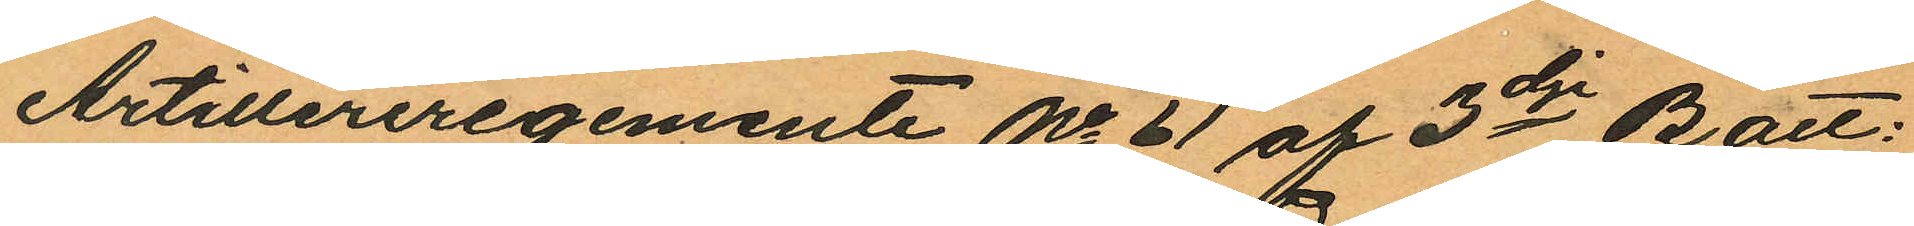Artilleriregemente No 61 af 3dje Batt:
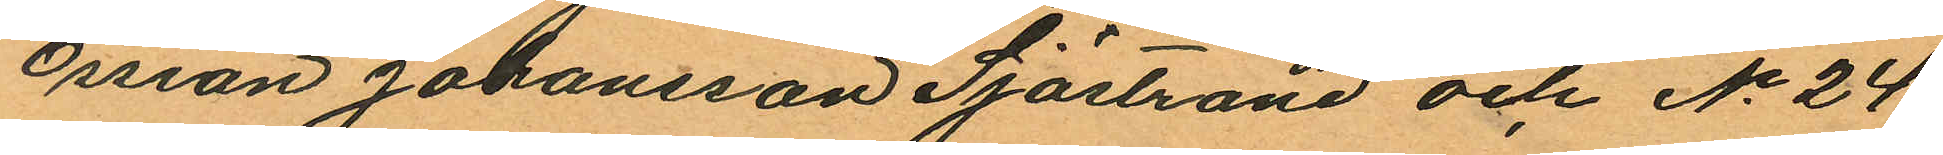Ossian Johansson Sjöstrand och No 24
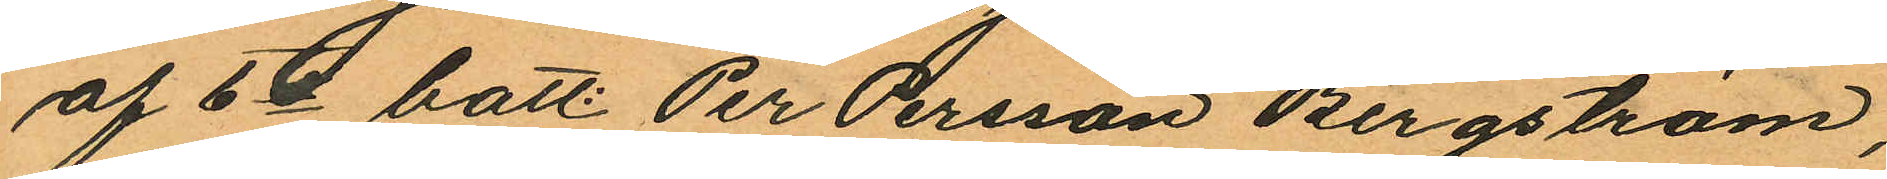af 6te batt: Per Persson Bergström,
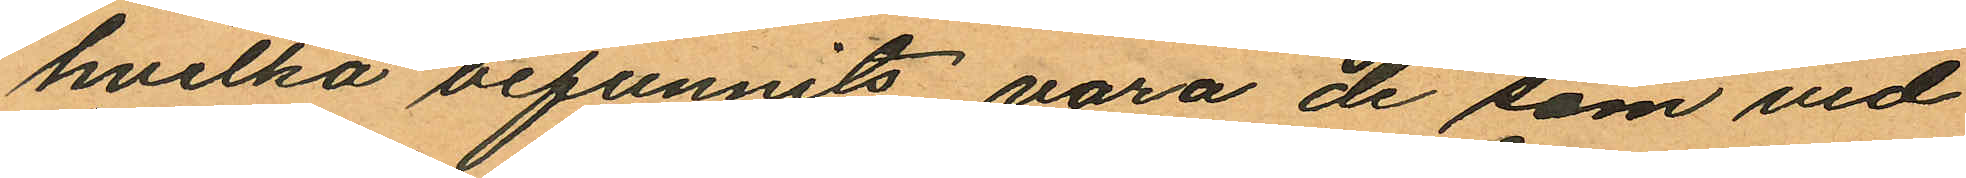hvilka befunnits vara de som vid
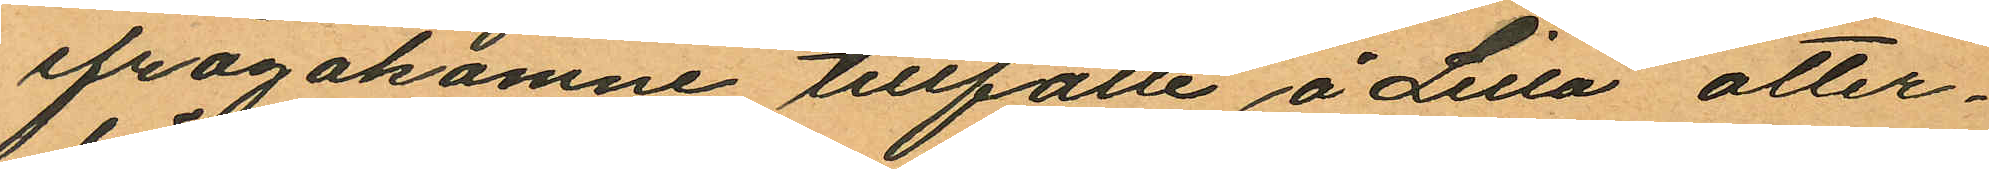ifrågakomne tillfälle å Lilla otter¬
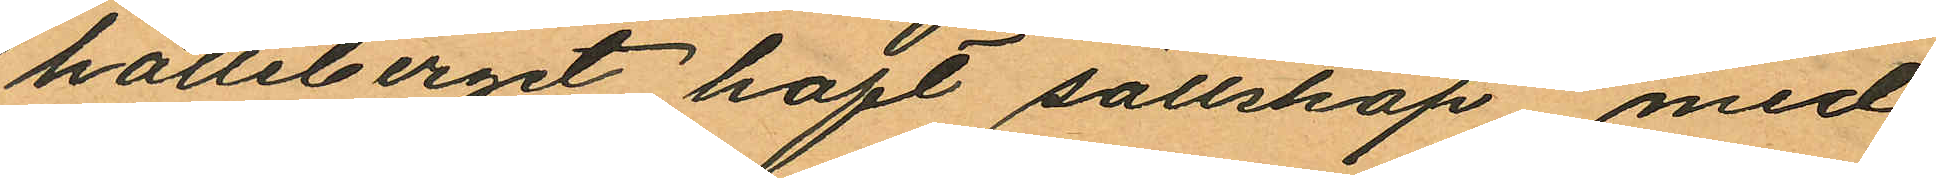hälleberget haft sällskap med
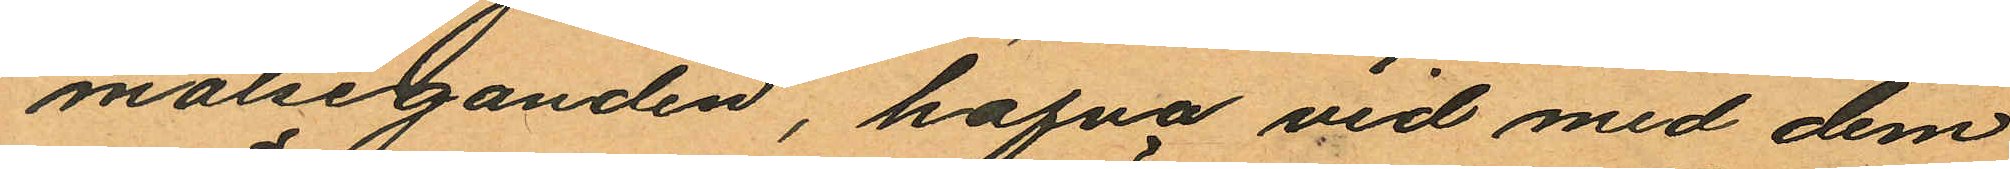målseganden, hafva vid med dem
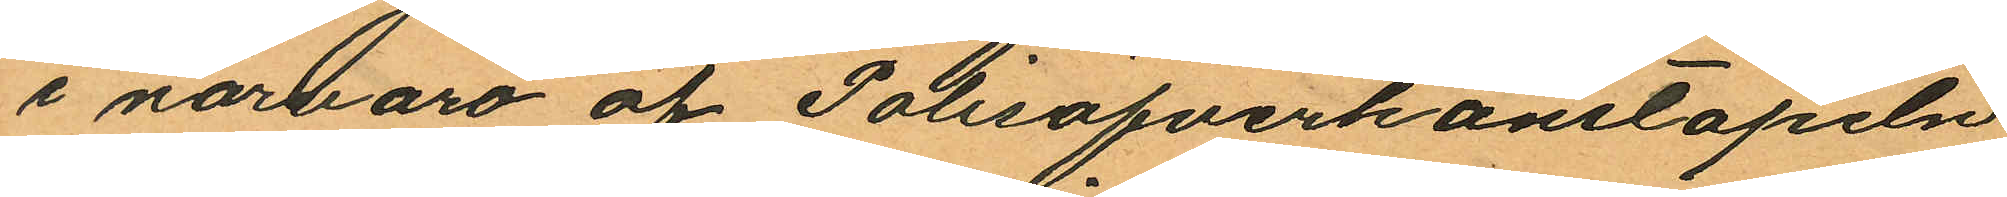i närvaro af Polisöfverkonstapeln
